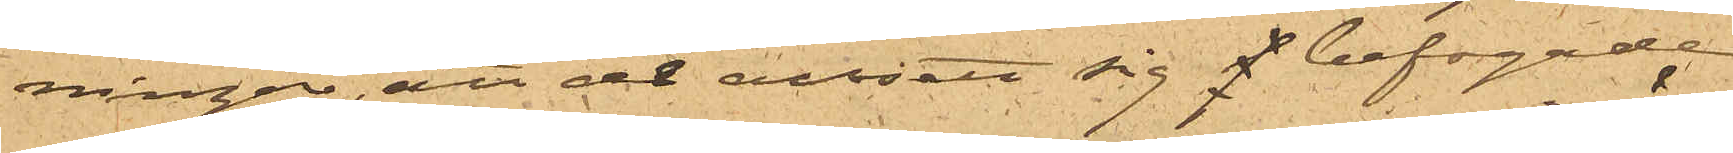ningar, att de ansett sig befogade
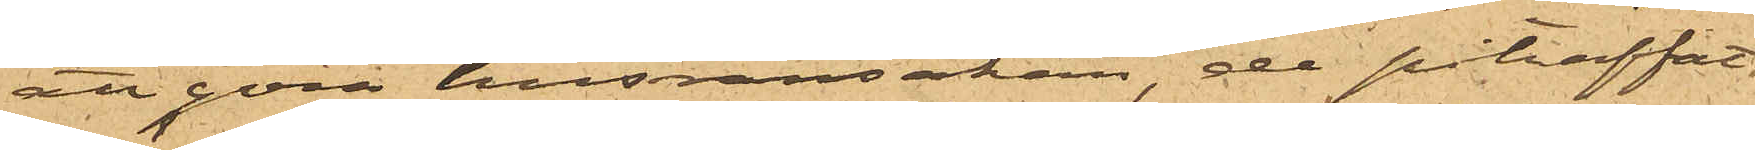att göra husransakan, de påträffat
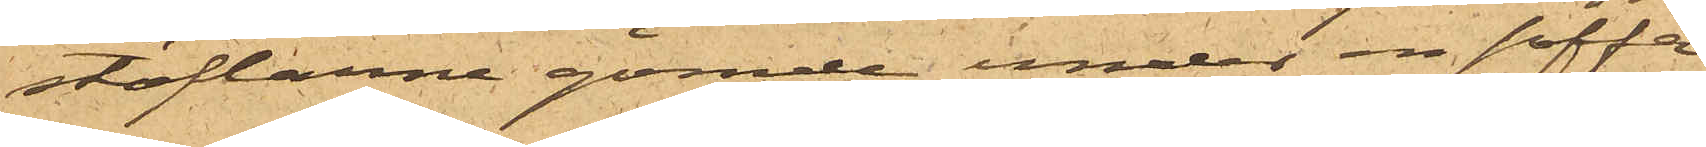stöflorne gömde under en soffa
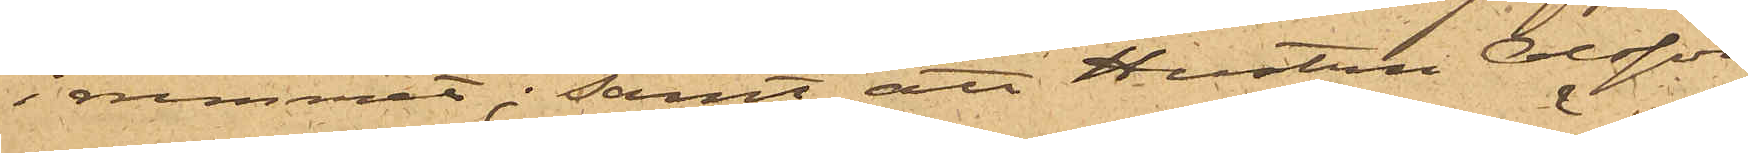i rummet; samt att Hustru Olsson
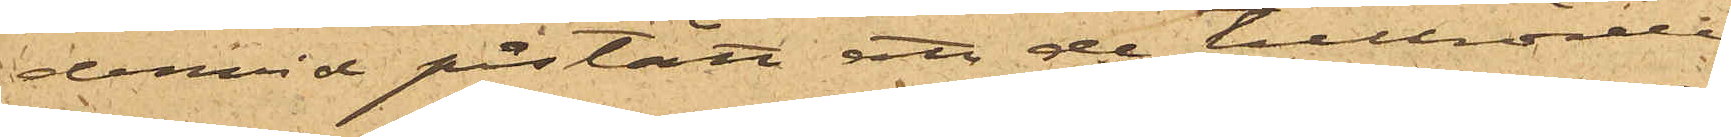dervid påstått att de tillhörde
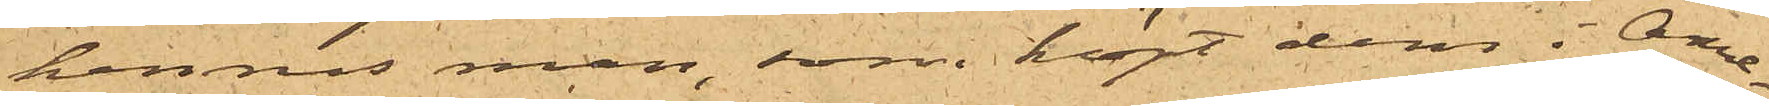hennes man, som köpt dem i Ame¬
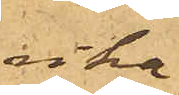rika.
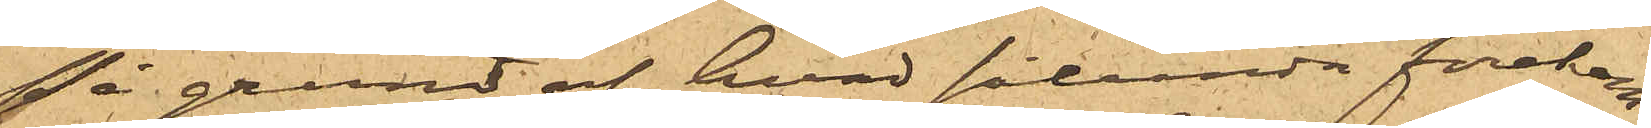På grund af hvad sålunda förekom¬
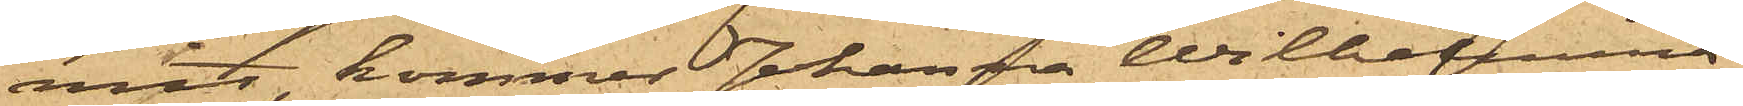mit, kommer Johanna Wilhelmina
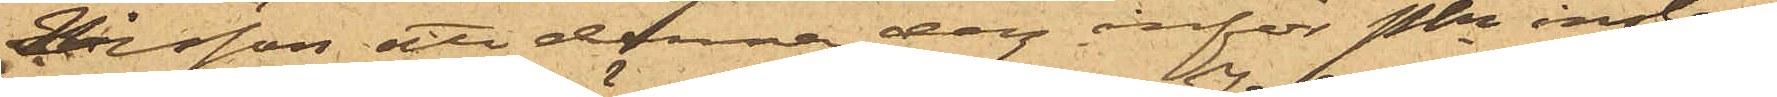Nilsson att denna dag inför Pkn instäl¬
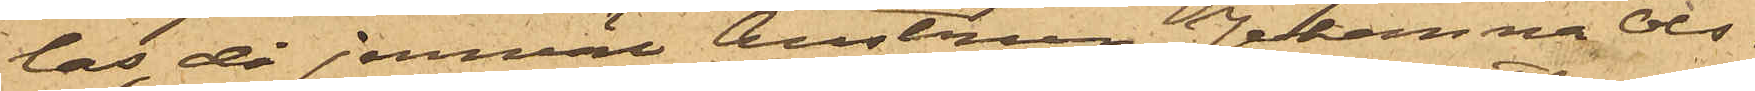las, då jemväl hustrun Johanna Ols¬
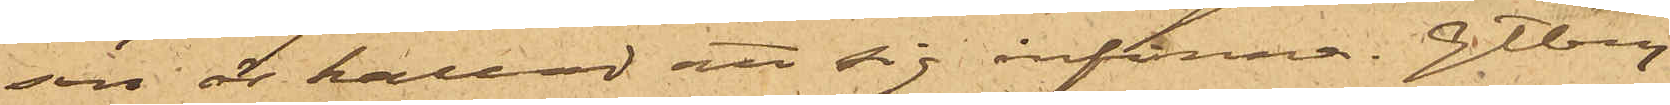son är kallad att sig infinna. Gtbg
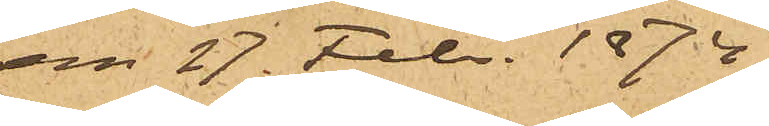den 27. Febr. 1874.
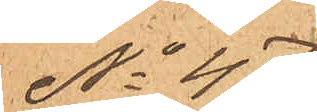No 47
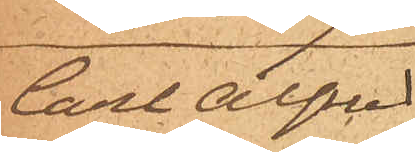Carl Alfred
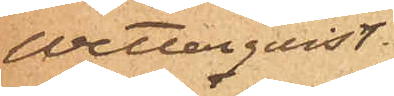Wetterquist.
